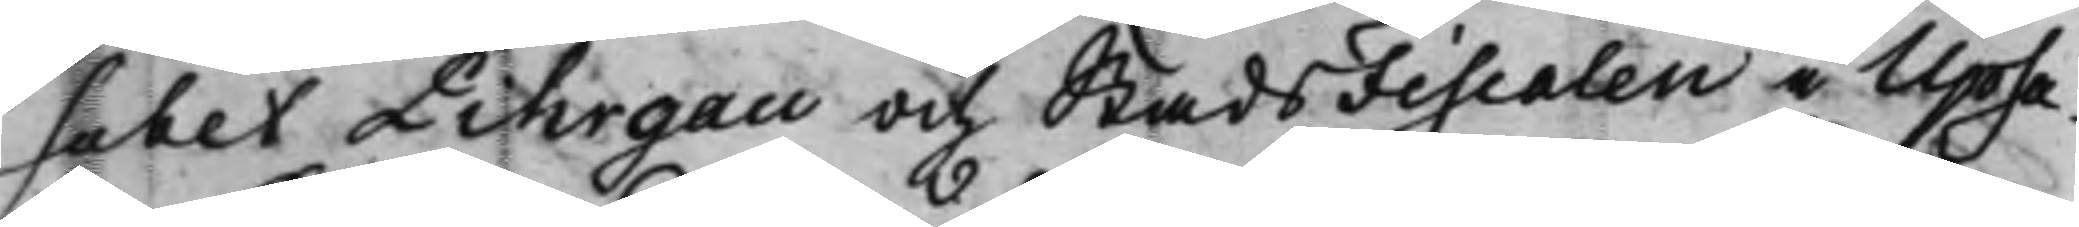sabet Pihrgau och StadsFiscalen i Upsa¬
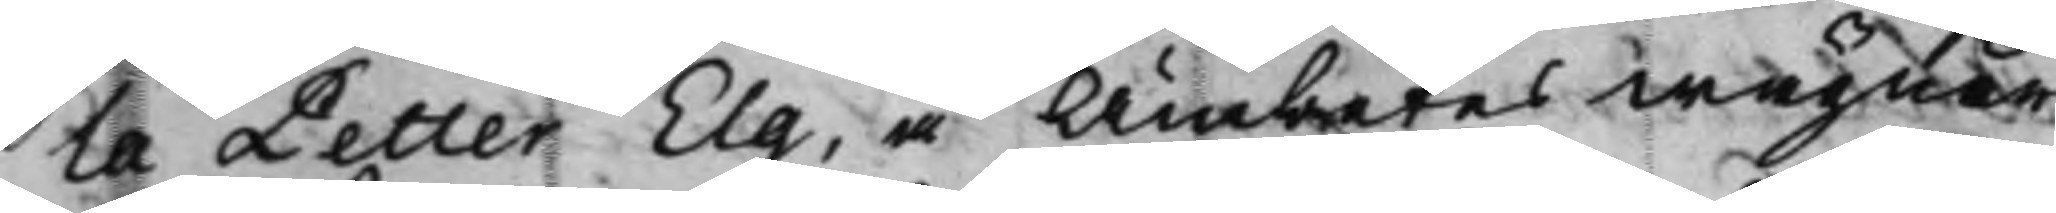la Petter Elg, å Ämbetes wägnar.
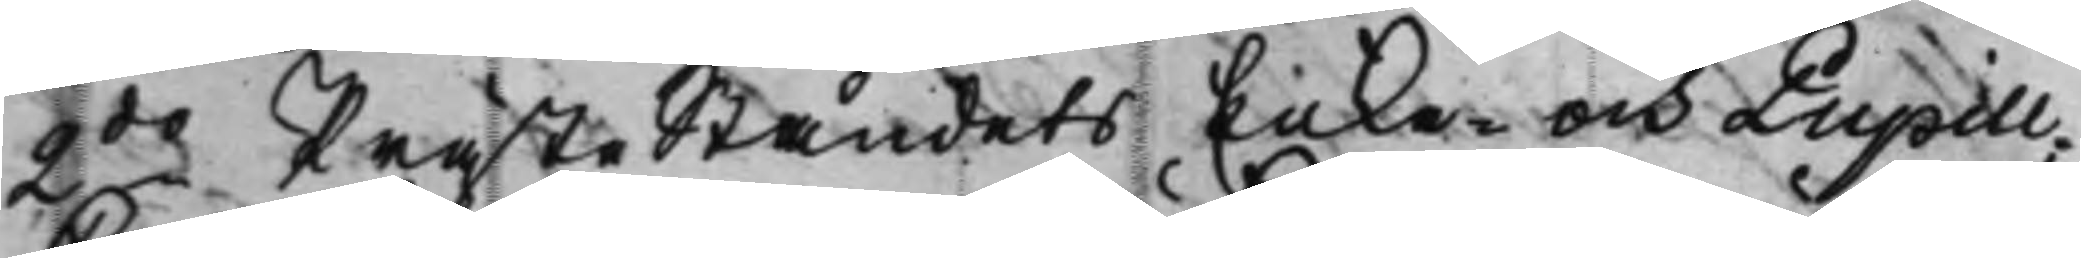2do  PrästeStåndets Enke- och Pupill¬
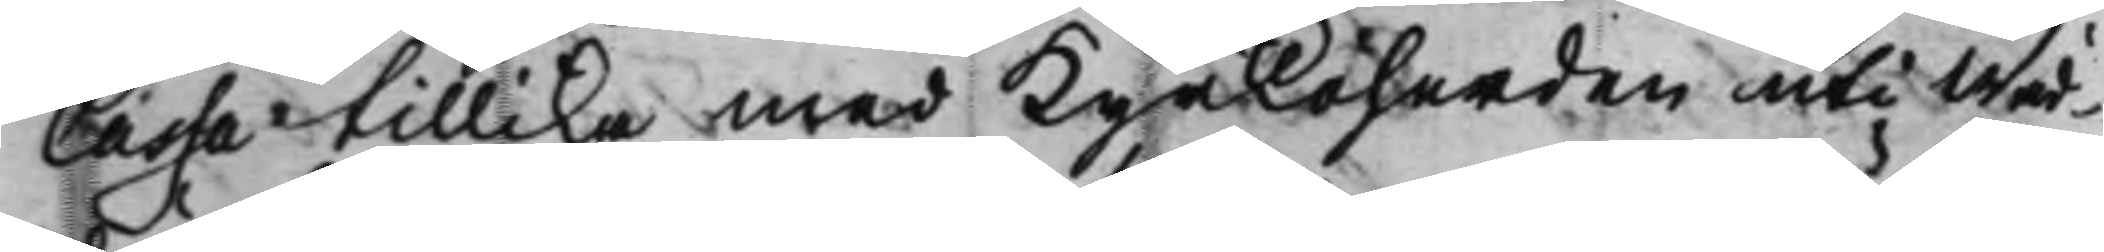Cassa tillika med Kyrkoherden uti Wäd¬
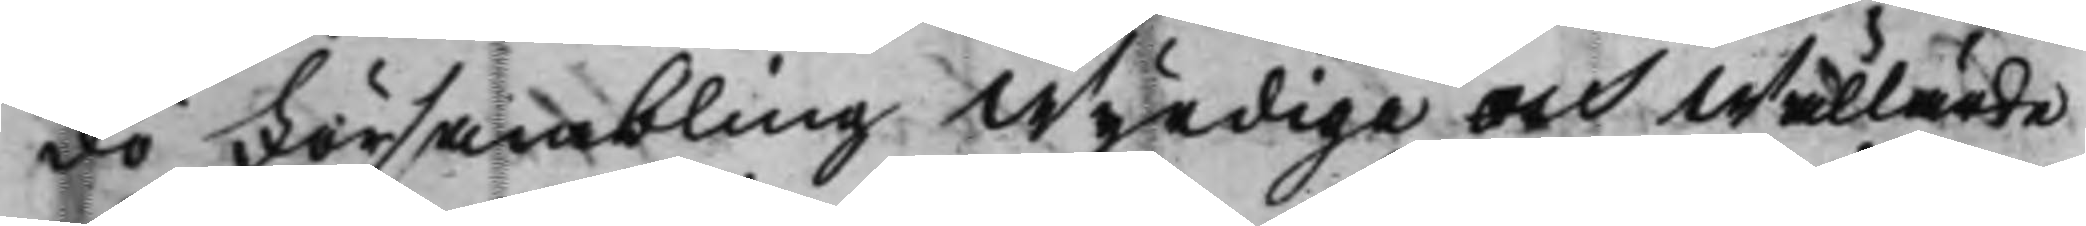dö Försambling Wyrdige och Wällärde
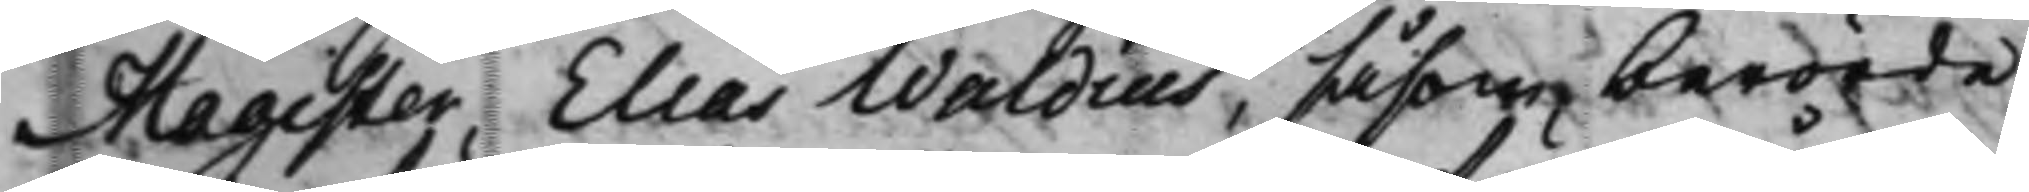Magister Elias Waldius, såsom berörde
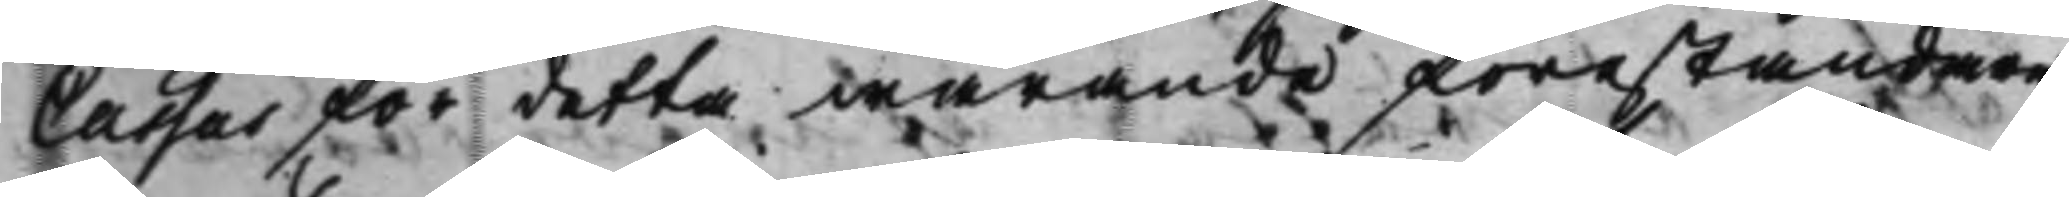Cassas för detta warande föreståndare;
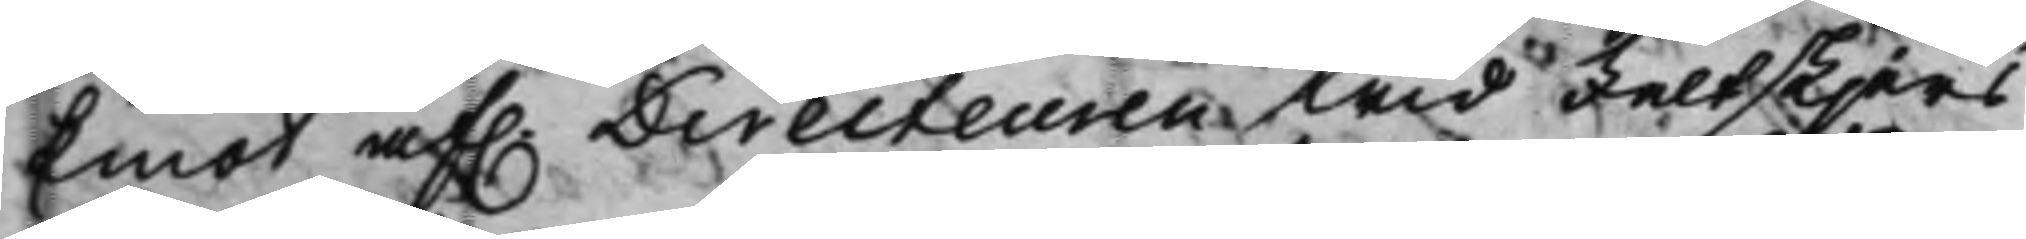Emot af. Directeuren wid Feltskjers
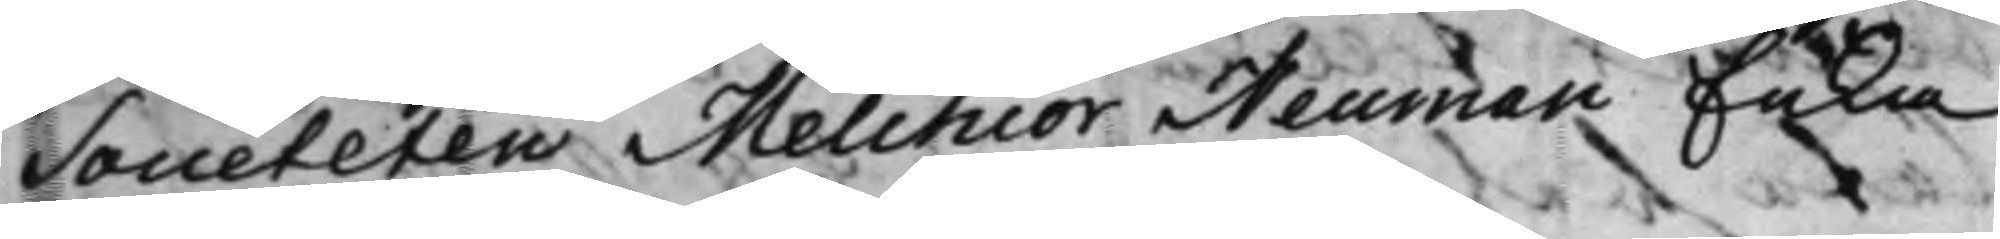Societeten Melchior Neuman Enka
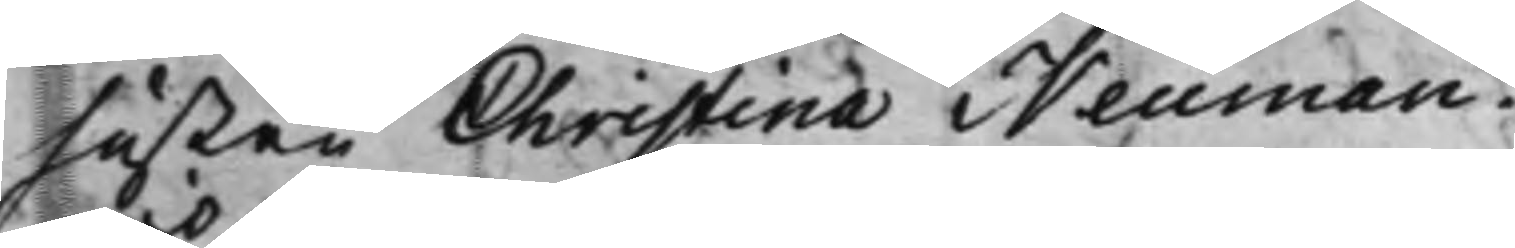hustru Christina Neuman.
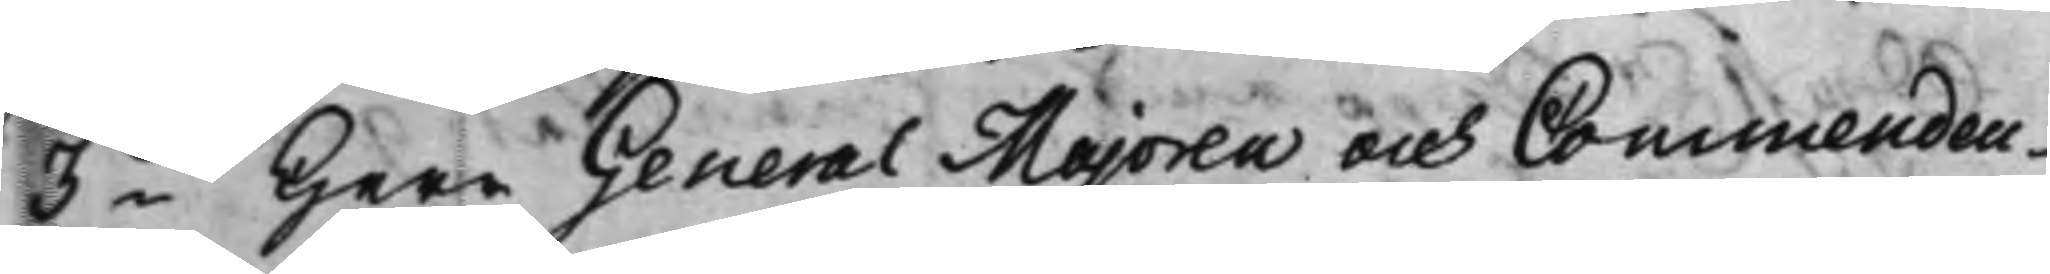3io Herr GeneralMajoren och Commendeu¬
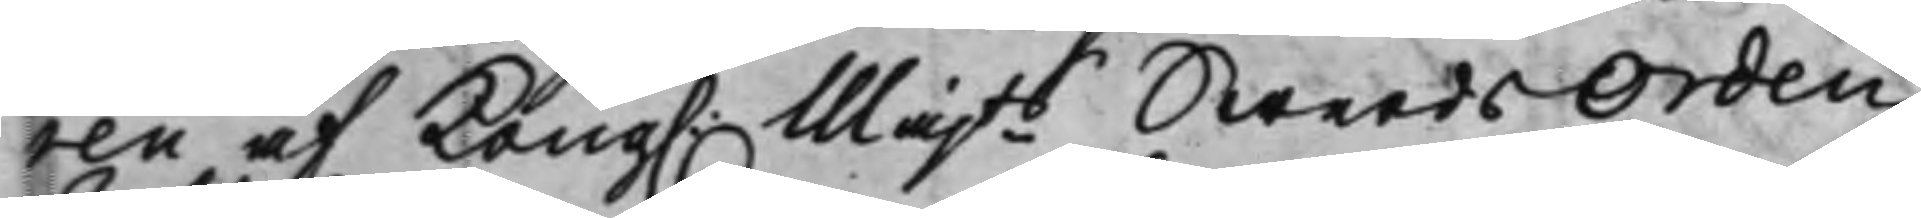ren af Kong. Majts SwerdsOrden
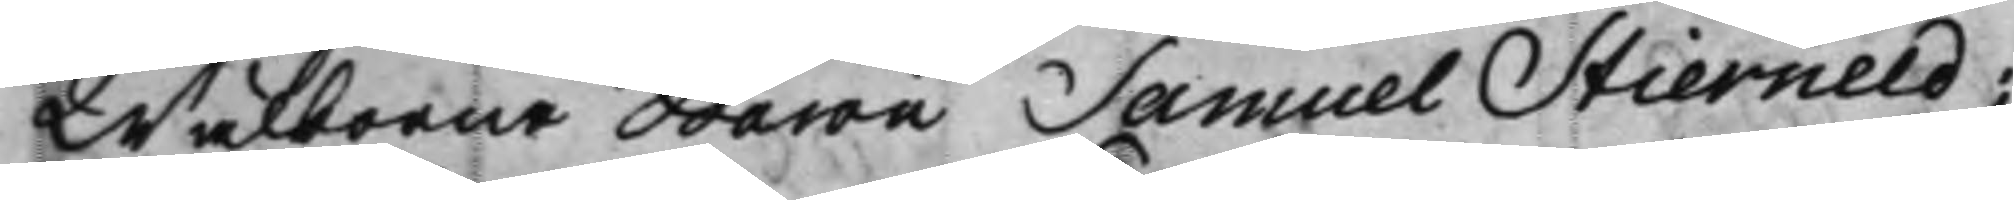Wälborne Baron Samuel Stierneld;
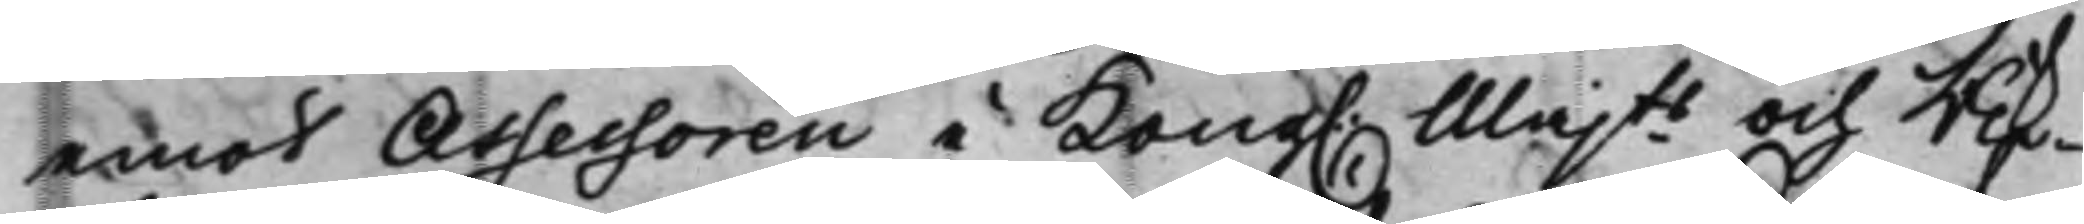emot Assessoren i Kong. Majts och Rik¬
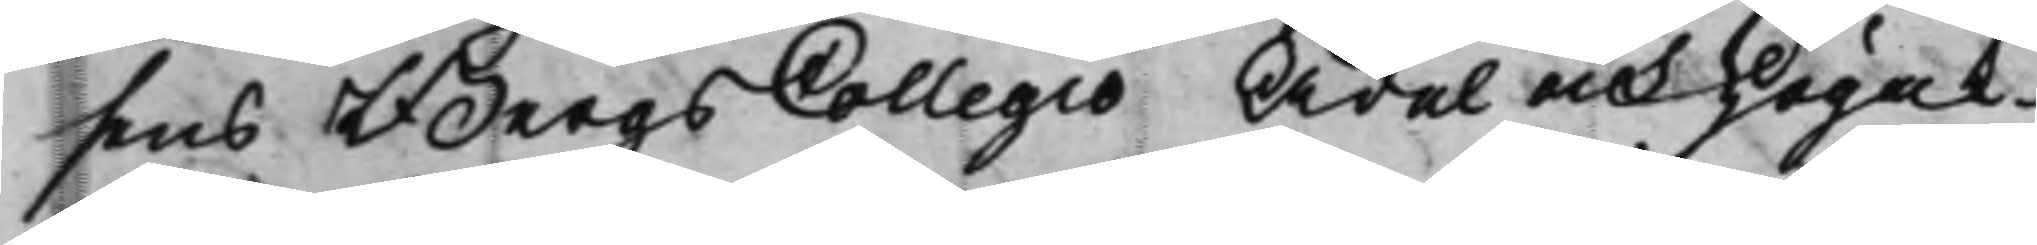ens BergsCollegio Ädel och Högak¬
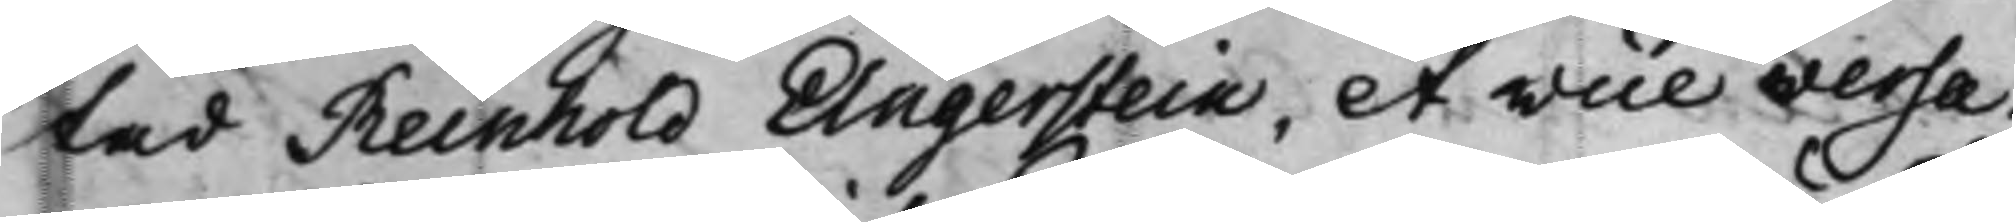tad Reinhold Angerstein, et vice versa.
